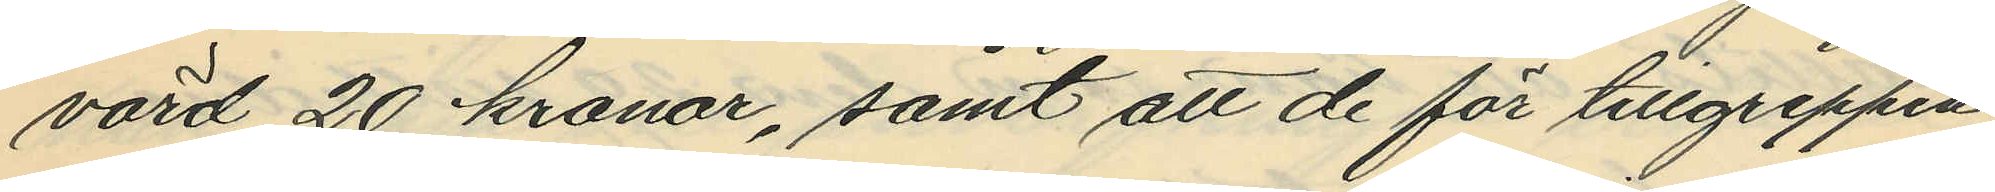värd 20 kronor, samt att de för tillgreppen
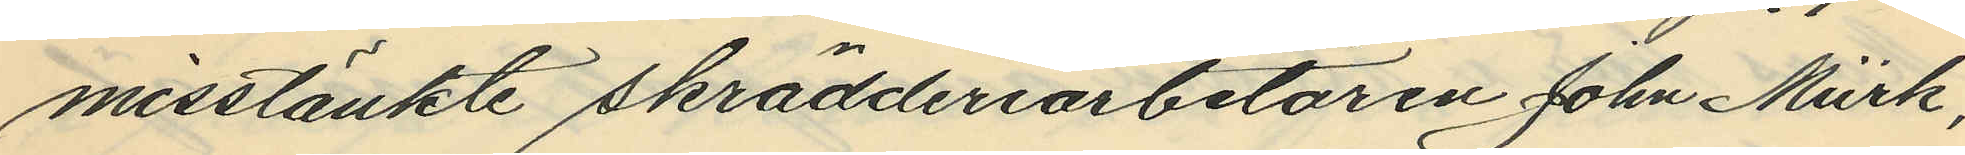misstänkte skrädderiarbetaren John Mürk,
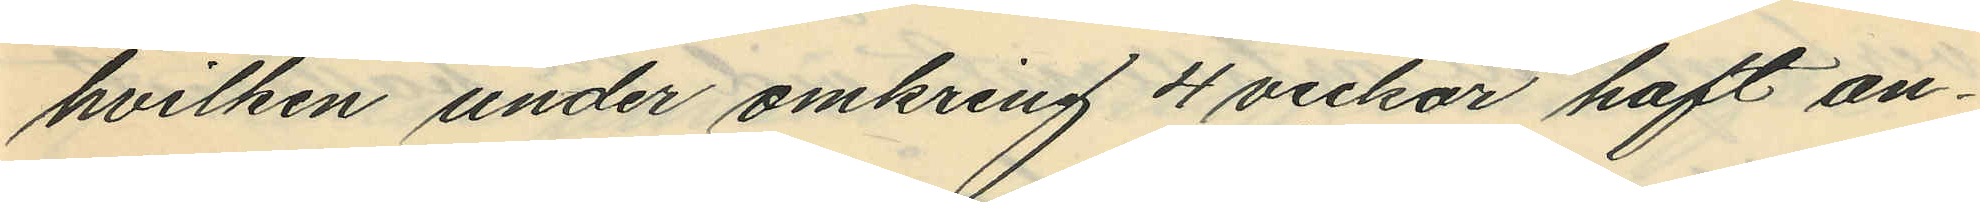hvilken under omkring 4 veckar haft an¬
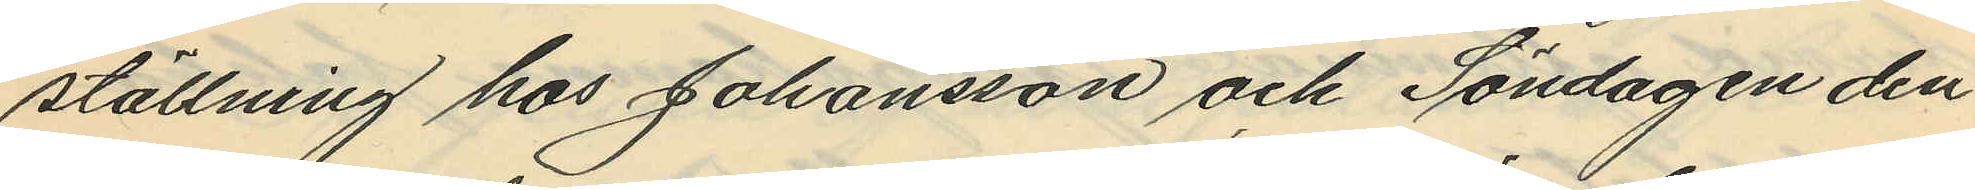ställning hos Johansson och Söndagen den
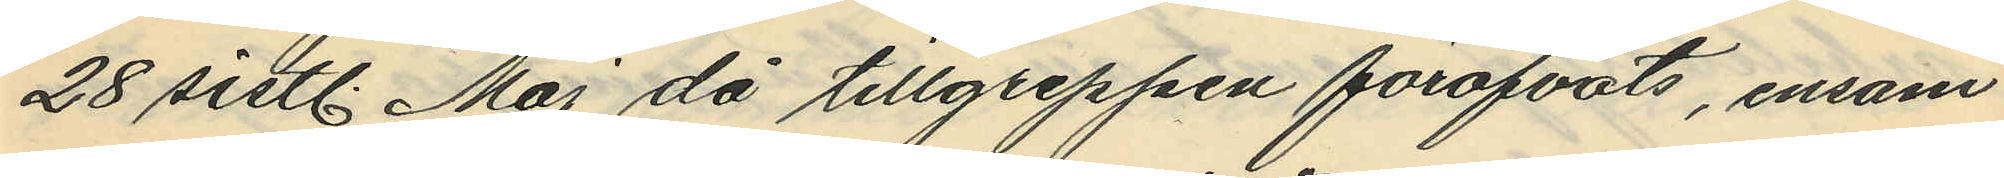28 sistl. Maj då tillgreppen föröfvats, ensam
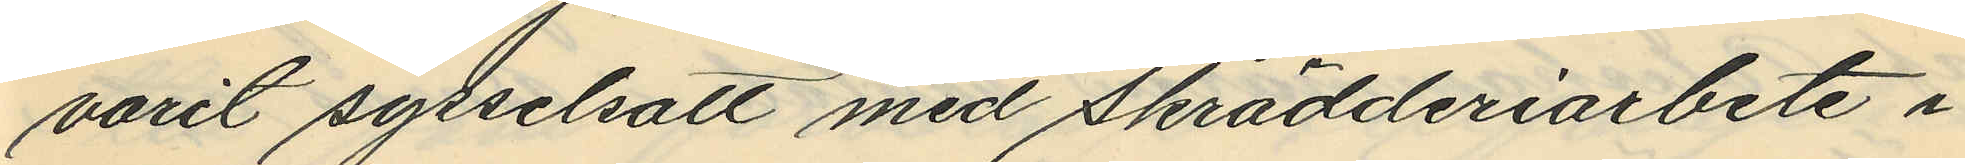varit sysselsatt med skrädderiarbete i
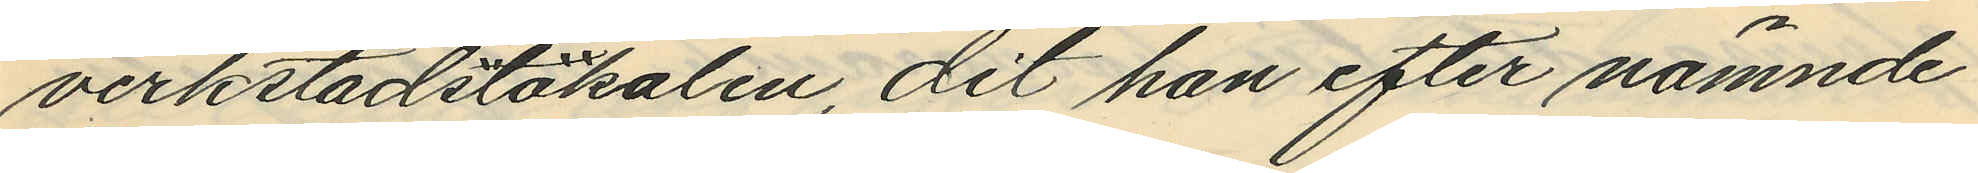verkstadslokalen, dit han efter nämnde
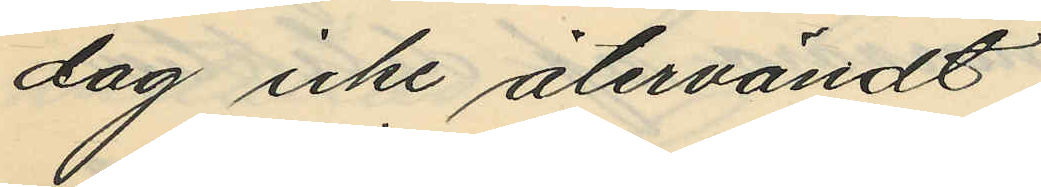dag icke återvändt.
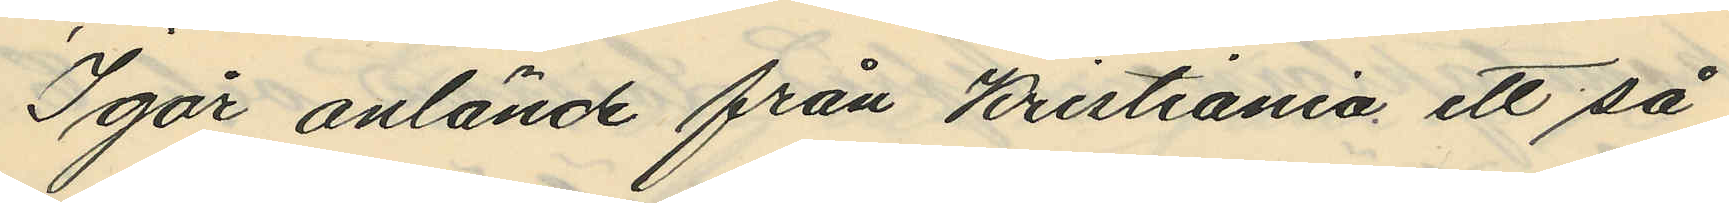Igår anlände från Kristiania ett så
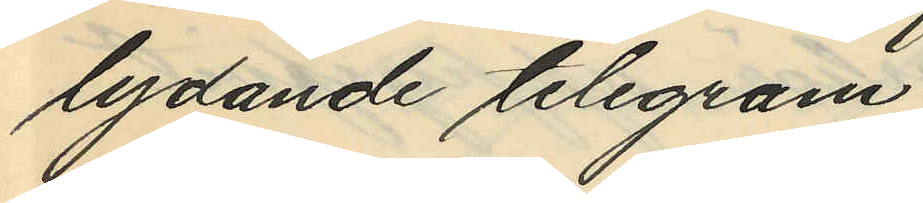lydande telegram
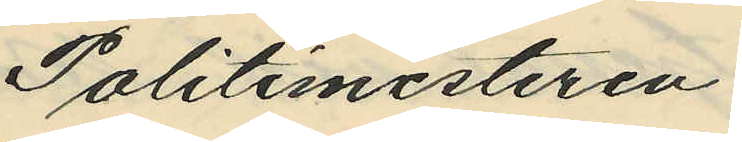Politimesteren
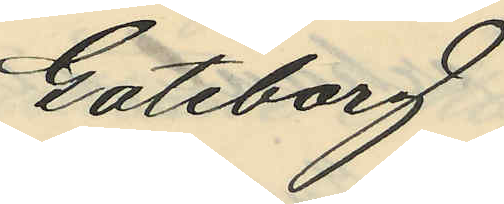Göteborg
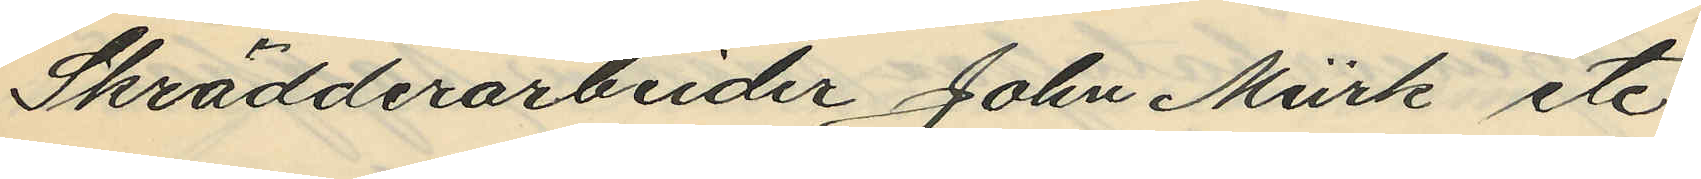Skrädderarbeider John Mürk etc:
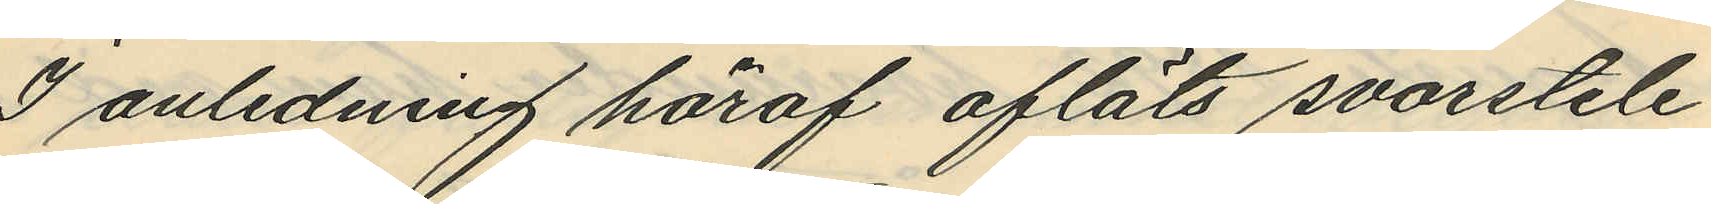I anledning häraf afläts svarstele¬
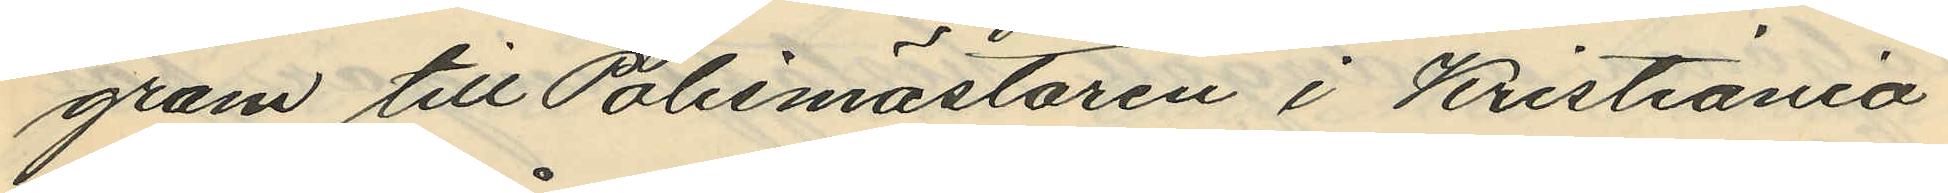gram till Polismästaren i Kristiania
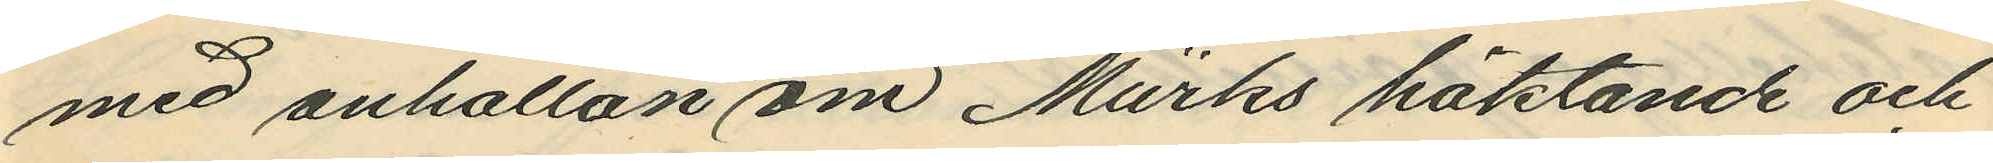med anhållan om Mürks häktande och
